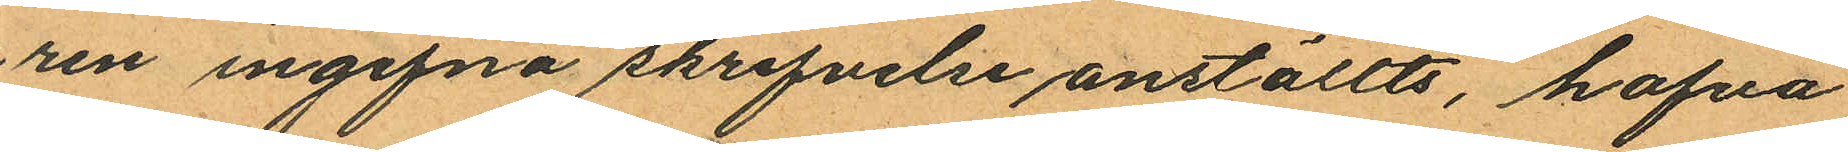ren ingifna skrifvelse anställts, hafva
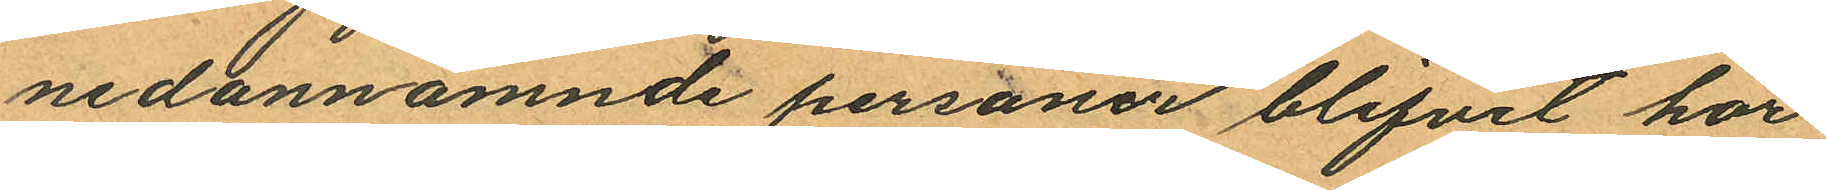nedannämnde personer blifvit hör¬
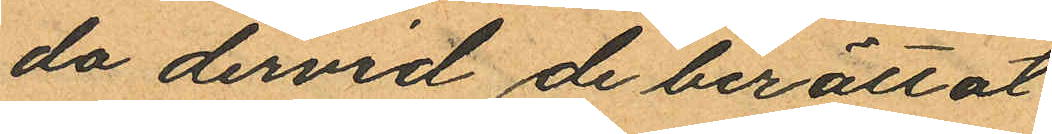da dervid de berättat
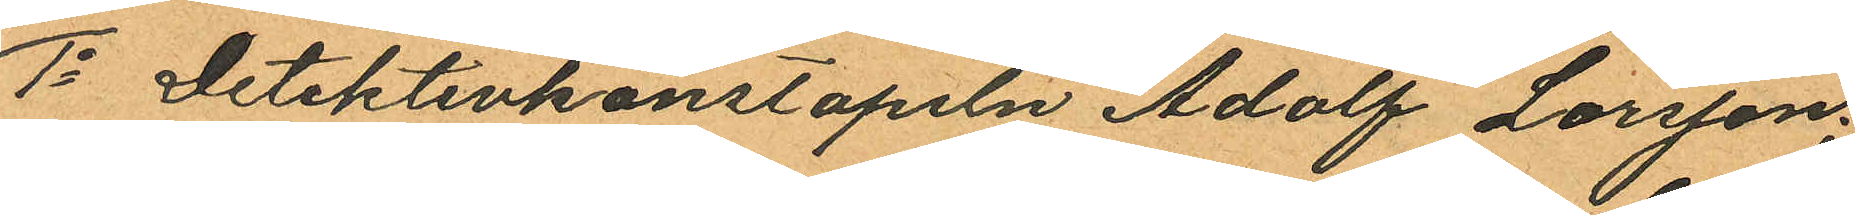1o Detektivkonstapeln Adolf Larsson:
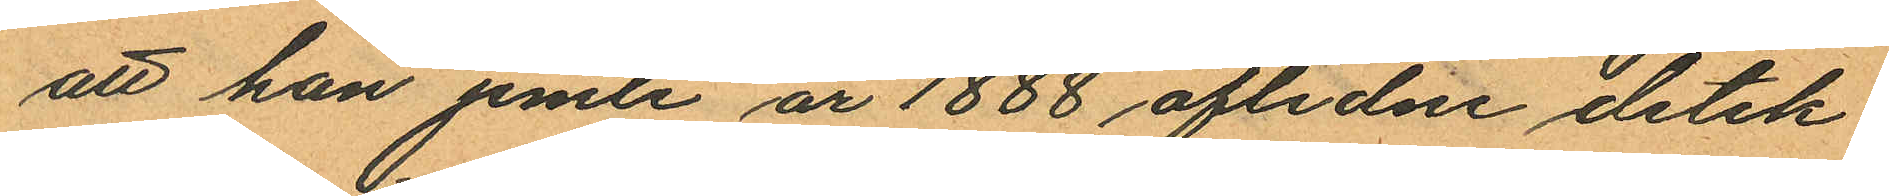att han jemte år 1888 aflidne detek¬
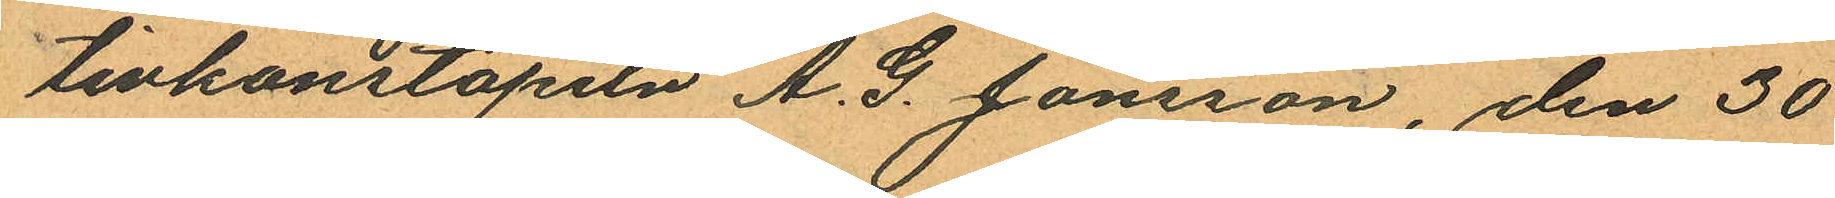tivkonstapeln A. G. Jönsson, den 30
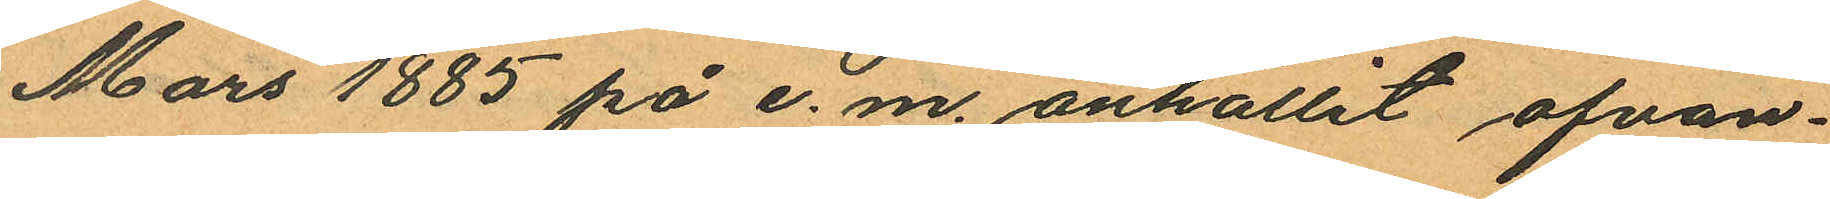Mars 1885 på e. m. anhållit ofvan¬
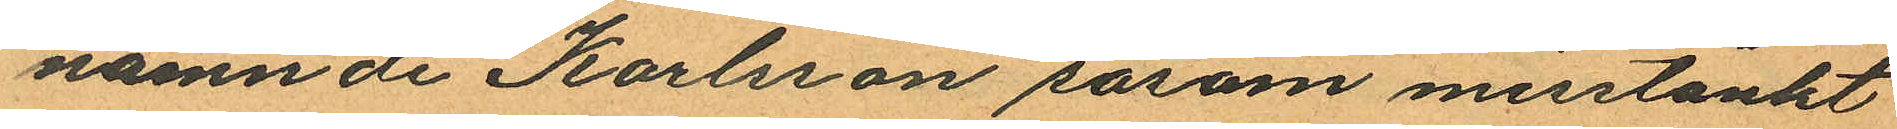namnde Karlsson såsom misstänkt
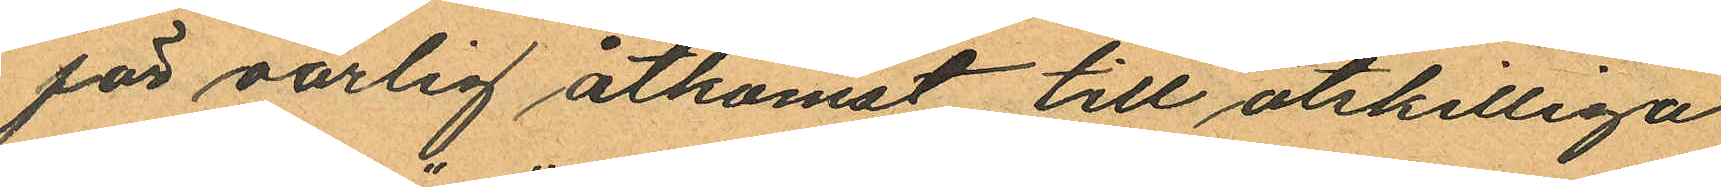för oärlig åtkomst till åtskilliga
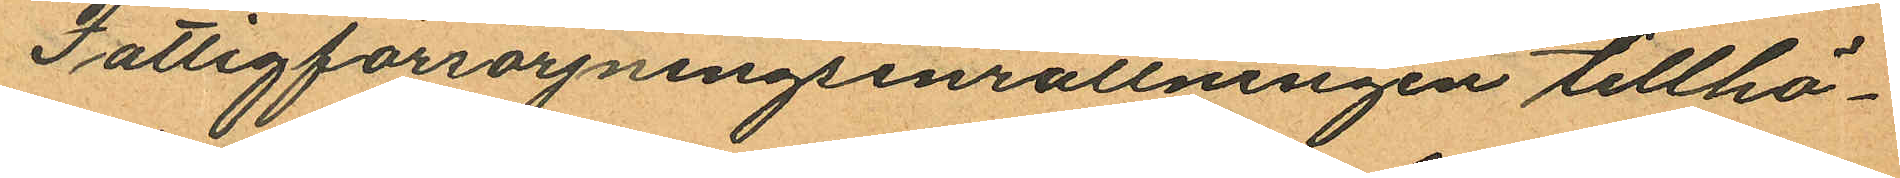Fattigförsörjningsinrättningen tillhö¬
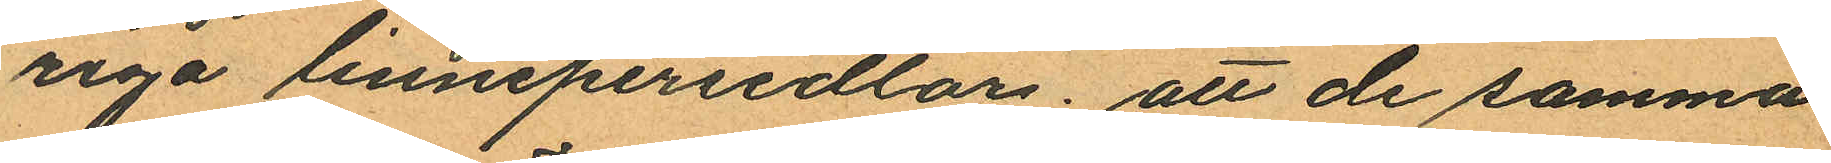riga linnepersedlar; att de samma
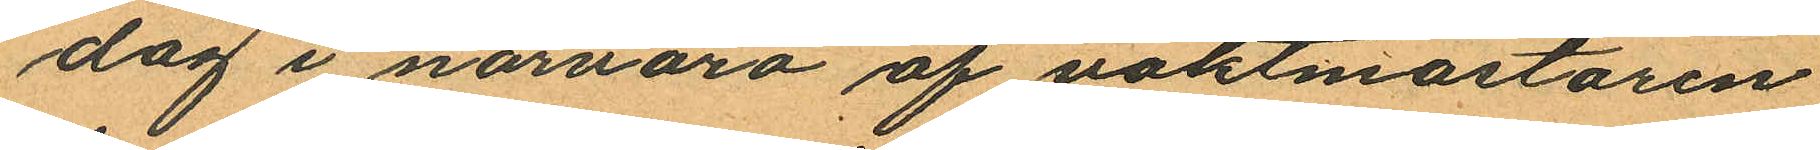dag i närvaro af vaktmästaren
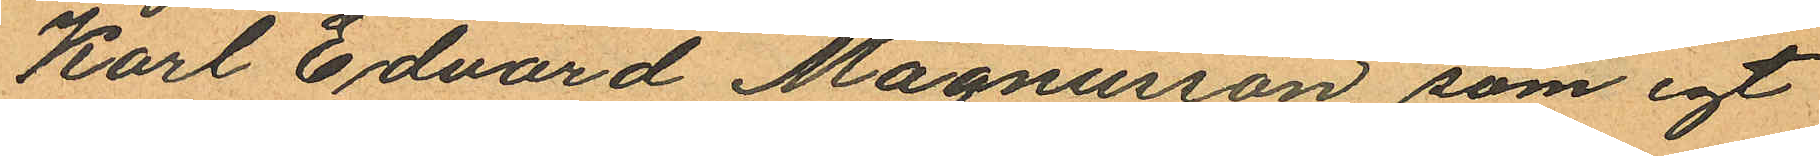Karl Edvard Magnusson, som egt
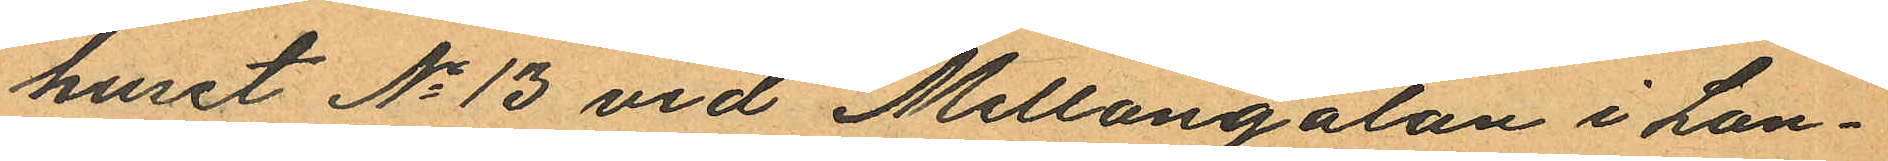huset No 13 vid Mellangatan i Lan¬
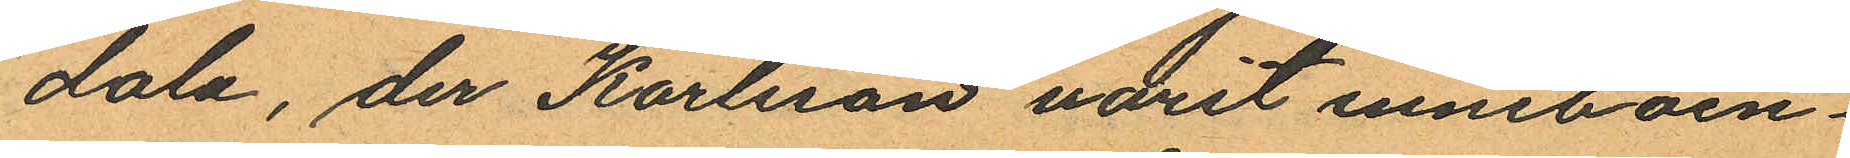dala, der Karlsson varit inneboen¬
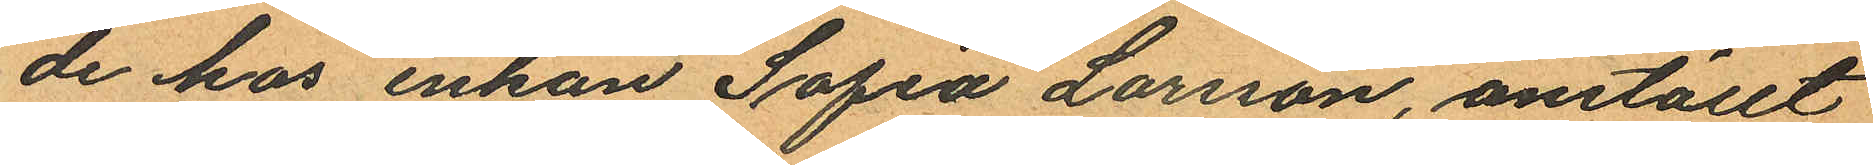de hos enkan Sofia Larsson, anställt
